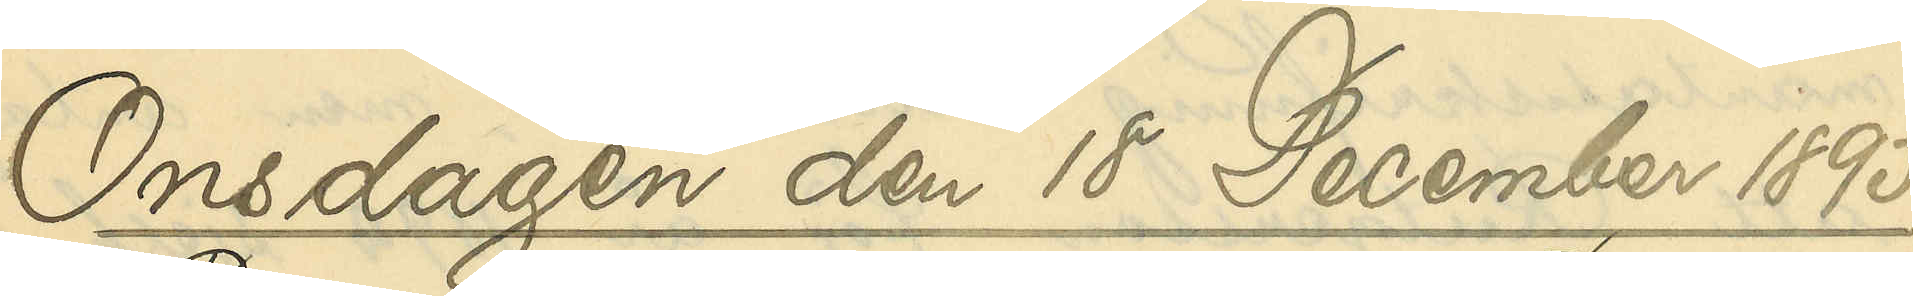Onsdagen den 18 December 1895
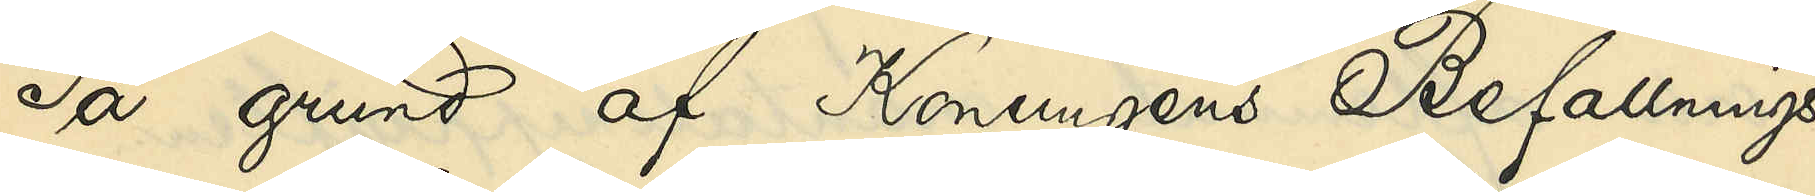På grund af Konungens Befallnings¬
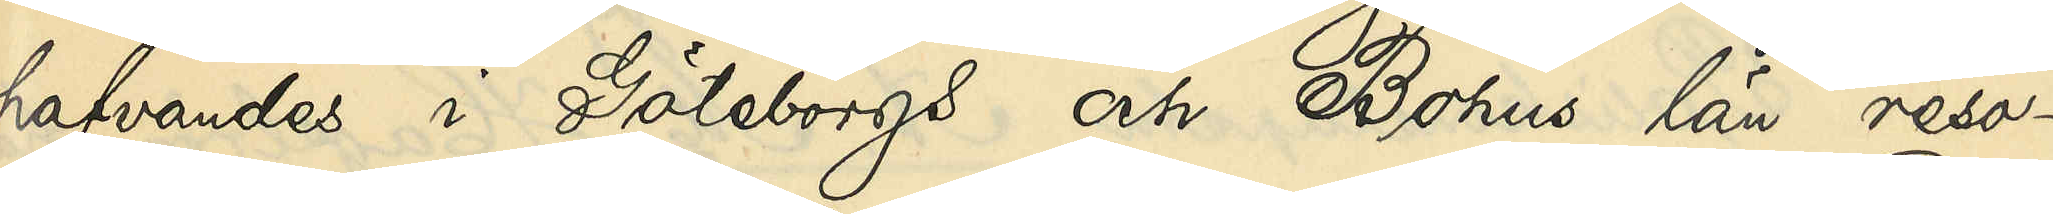hafvandes i Göteborgs och Bohus län reso¬
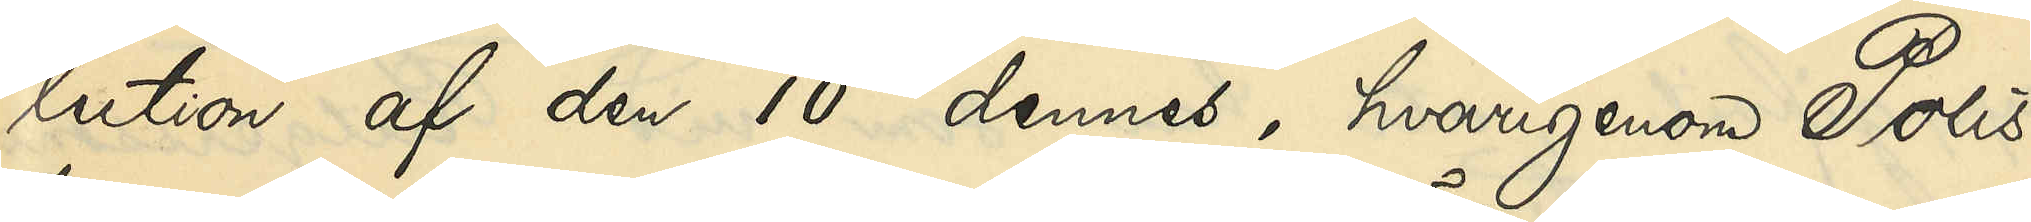lution af den 10 dennes, hvarigenom Polis¬
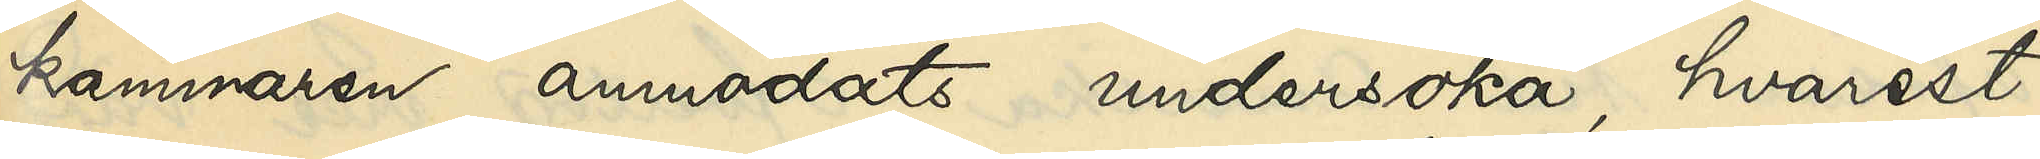kammaren anmodats undersöka, hvarest,
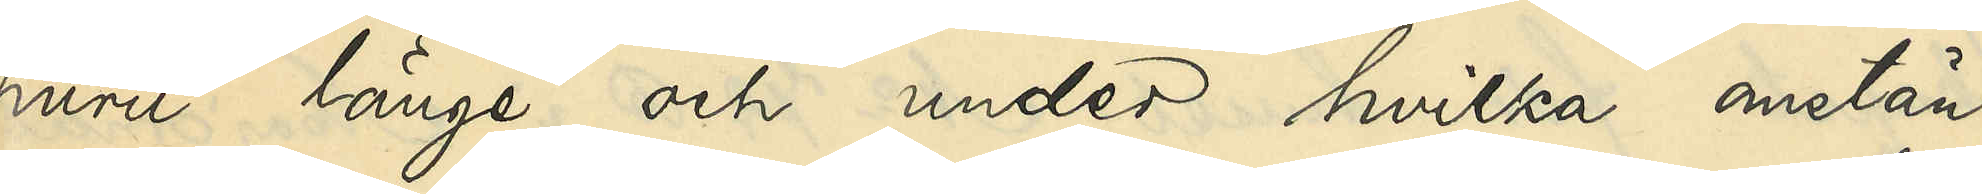huru länge och under hvilka omstän¬
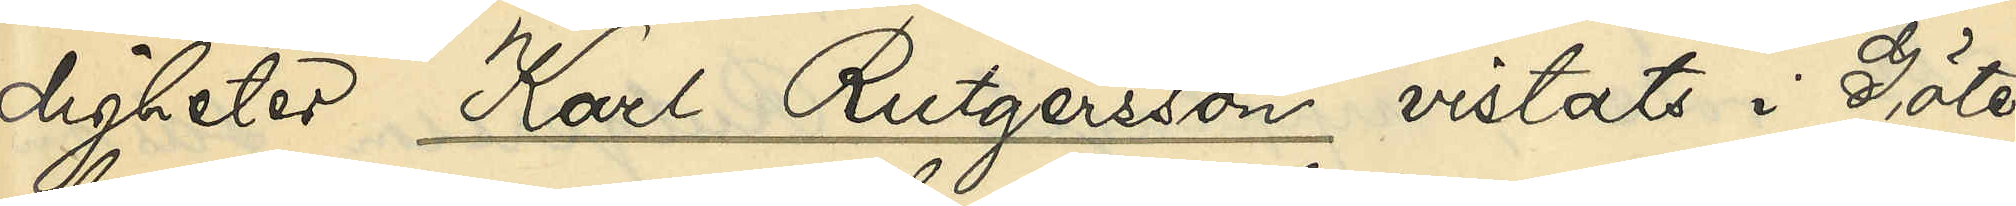digheter Karl Rutgersson vistats i Göte¬
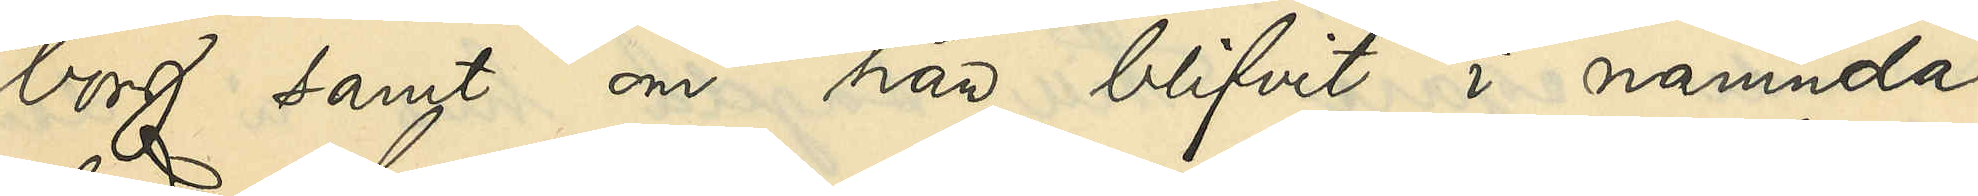borg, samt om han blifvit i nämnda
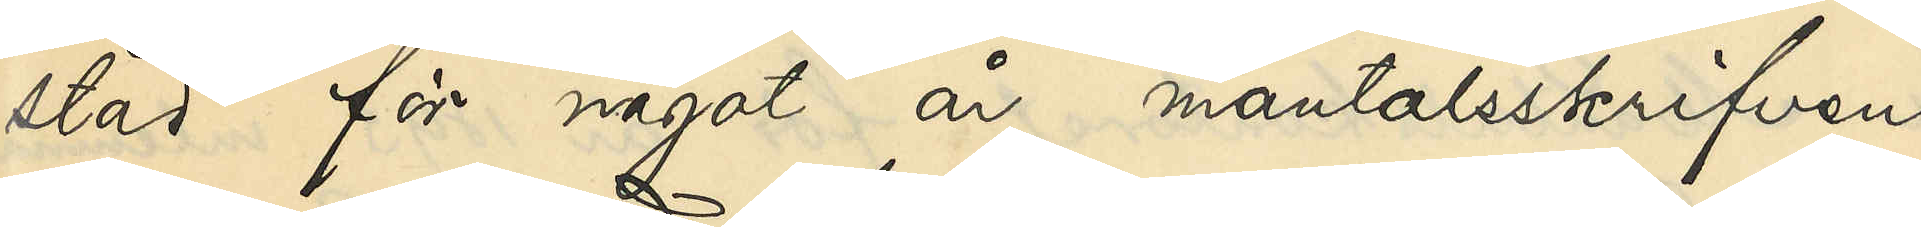stad för något år mantalsskrifven, 
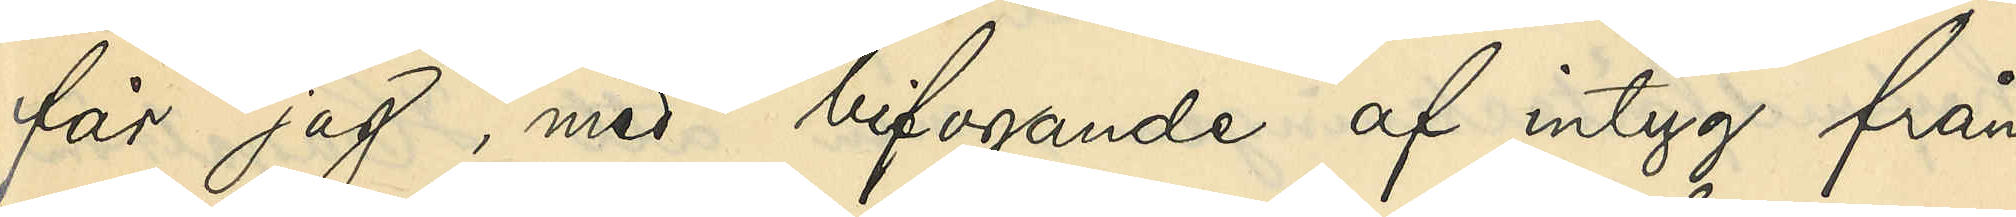får jag, med bifogande af intyg från
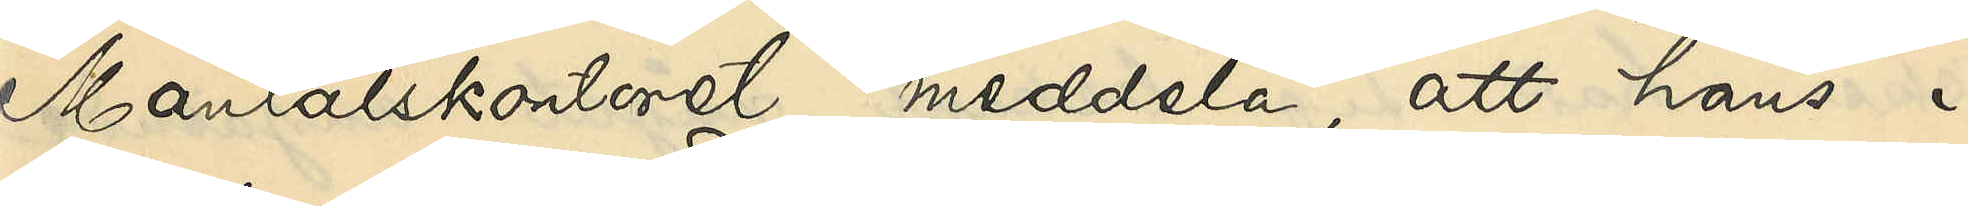Mantalskontoret, meddela, att hans i
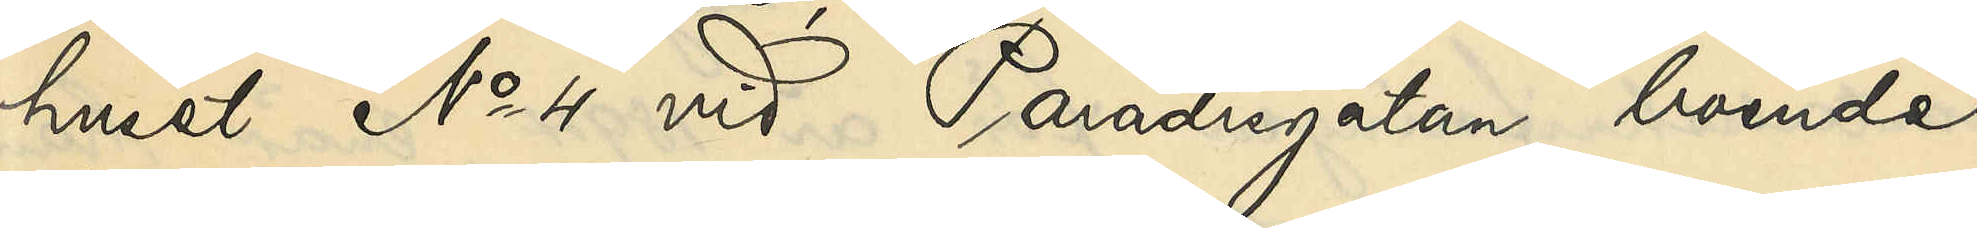huset No 4 vid Paradisgatan boende
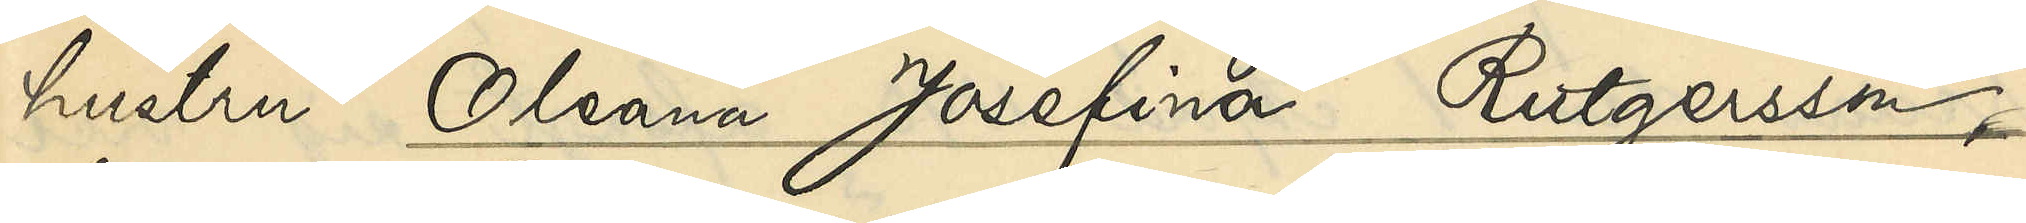hustru Oleana Josefina Rutgersson,
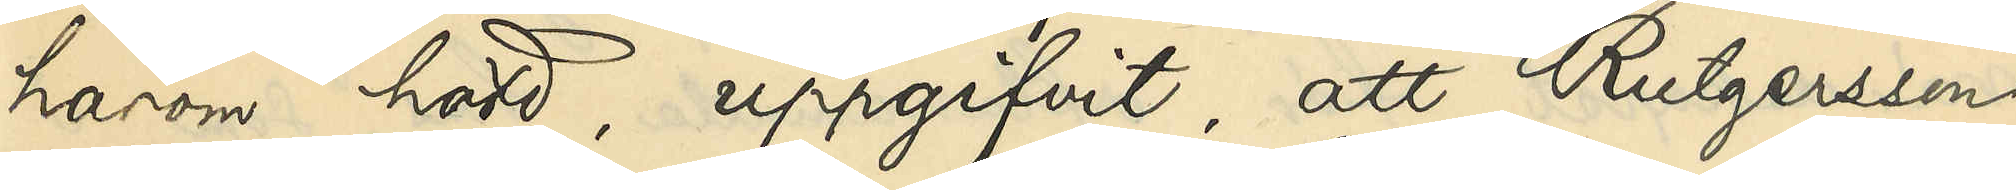härom hörd, uppgifvit, att Rutgersson
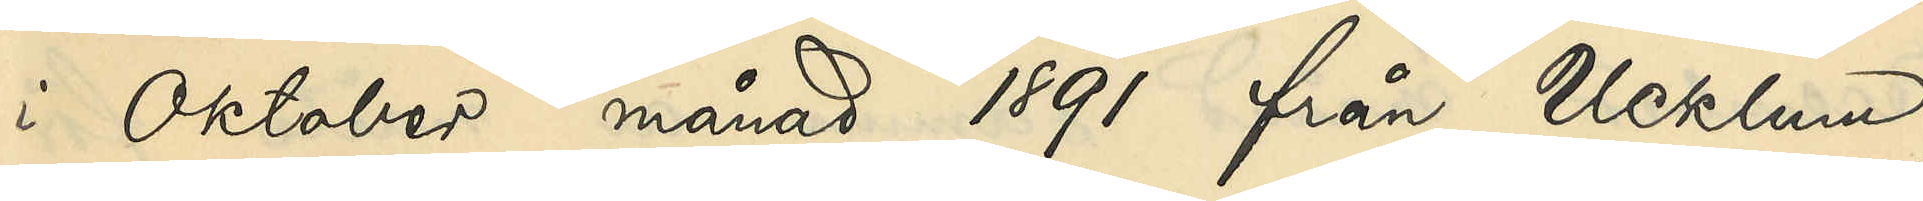i Oktober månad 1891 från Ucklum
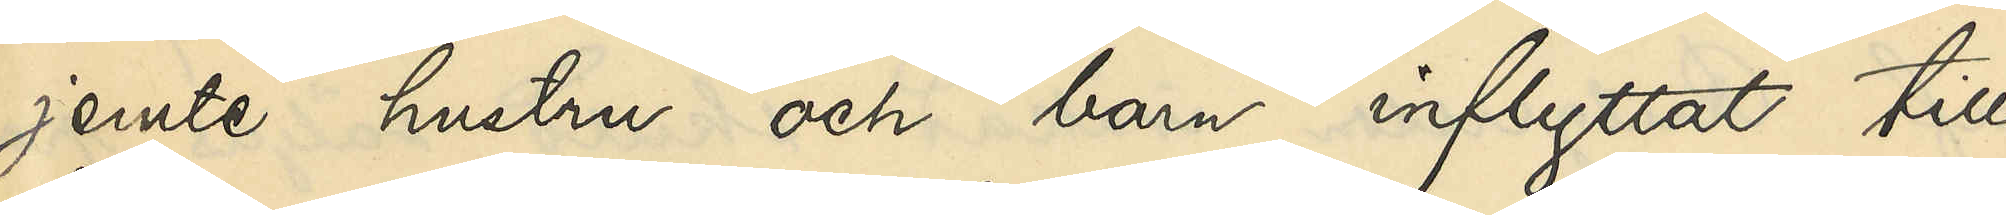jemte hustru och barn inflyttat till
